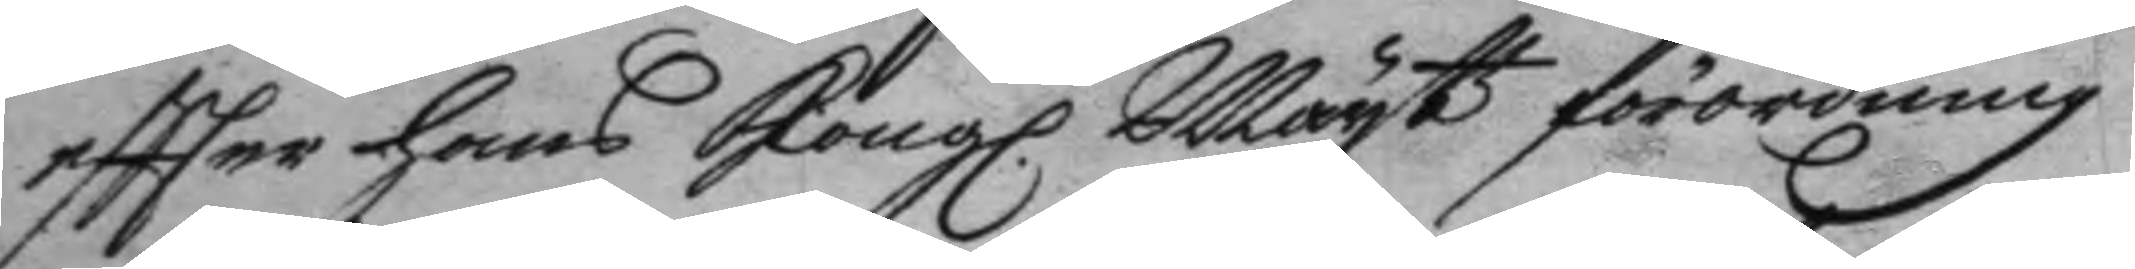eftter hans Kong. Mayttz förordning
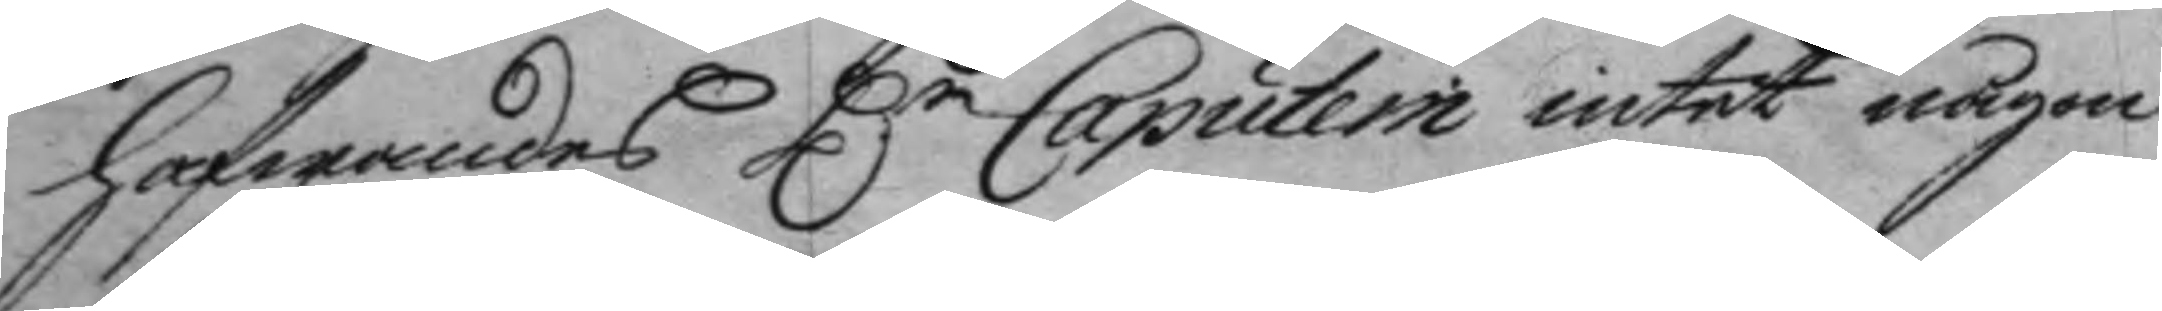hafwandes H:r Caputein intet någon
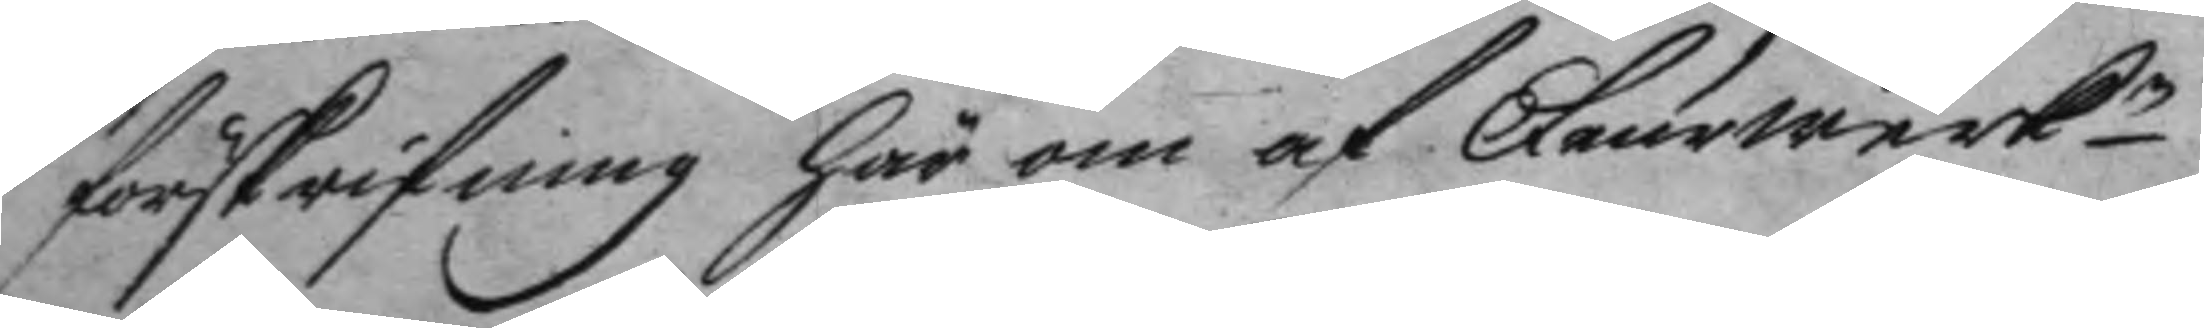förskrifning här om af Feurwerkn
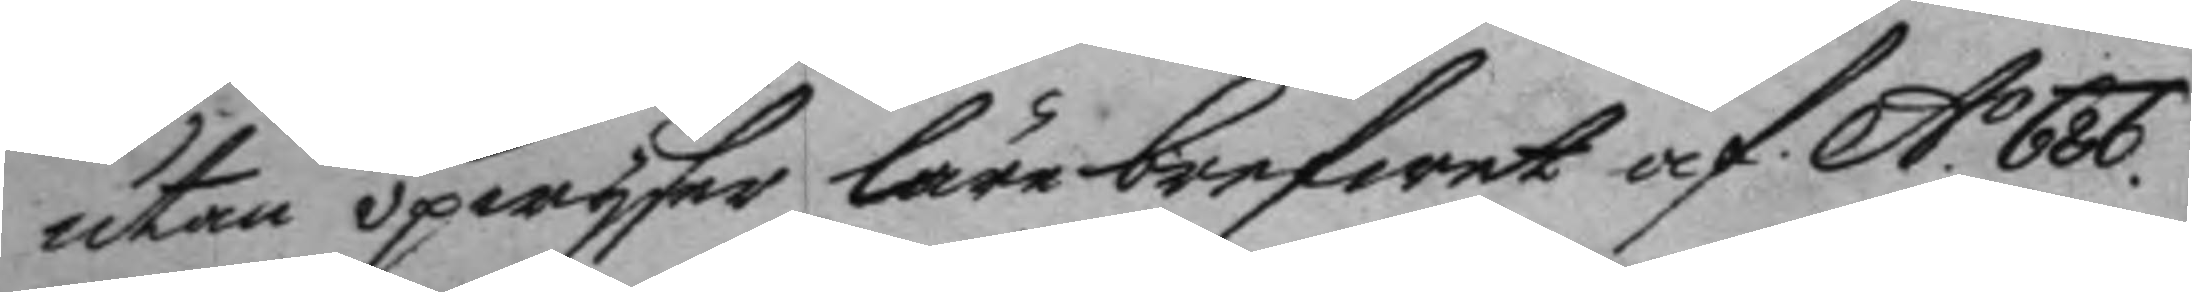utan upwyser lärebrefwet af A:o 686
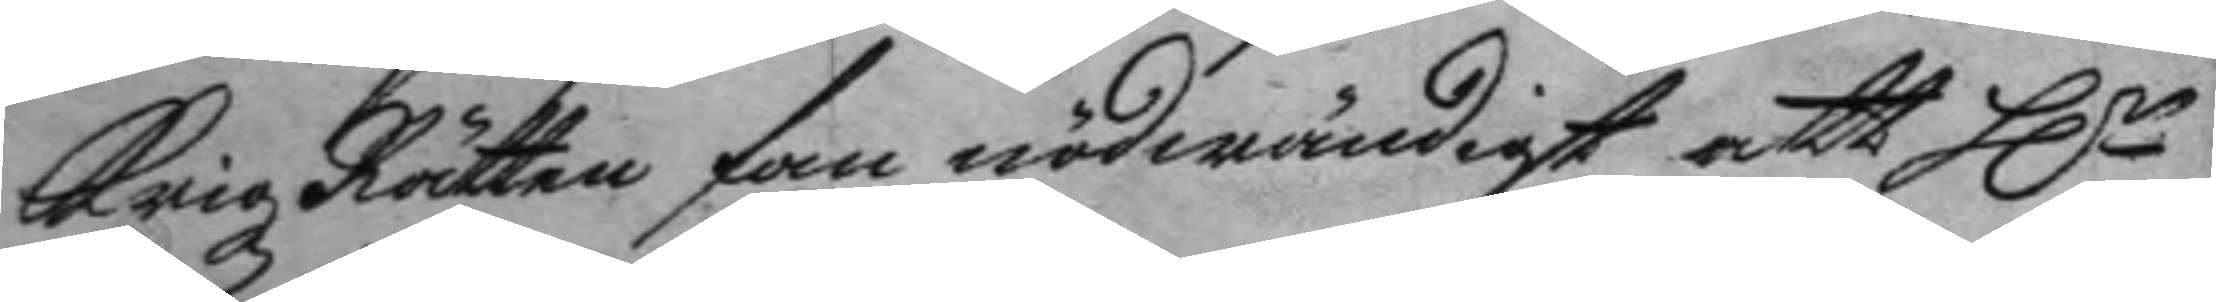Krigz Rätten fan nödwändigt att H:r
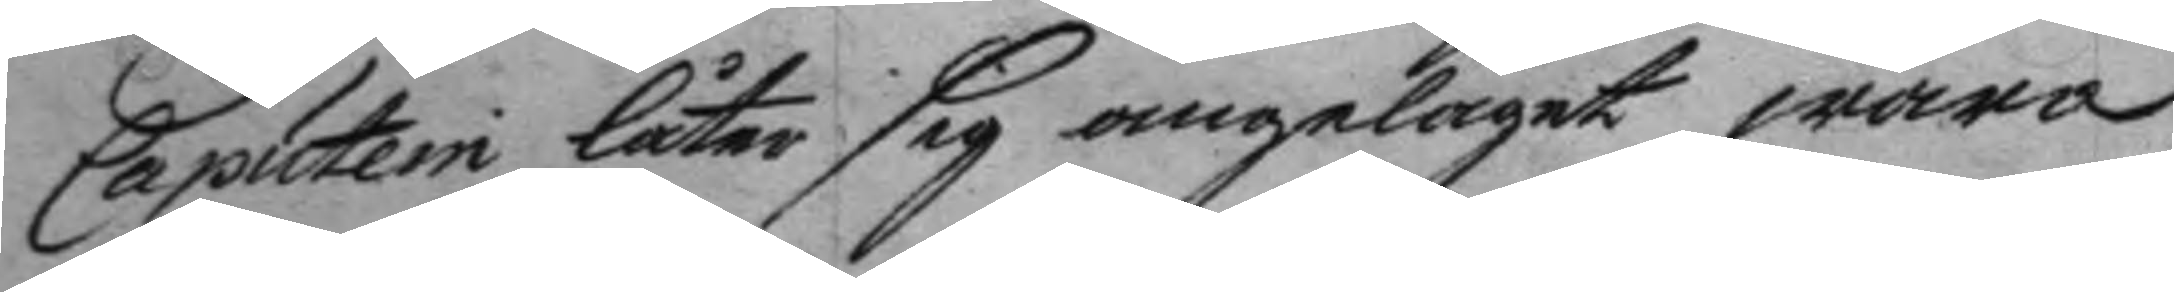Caputein låter sig angeläget wara
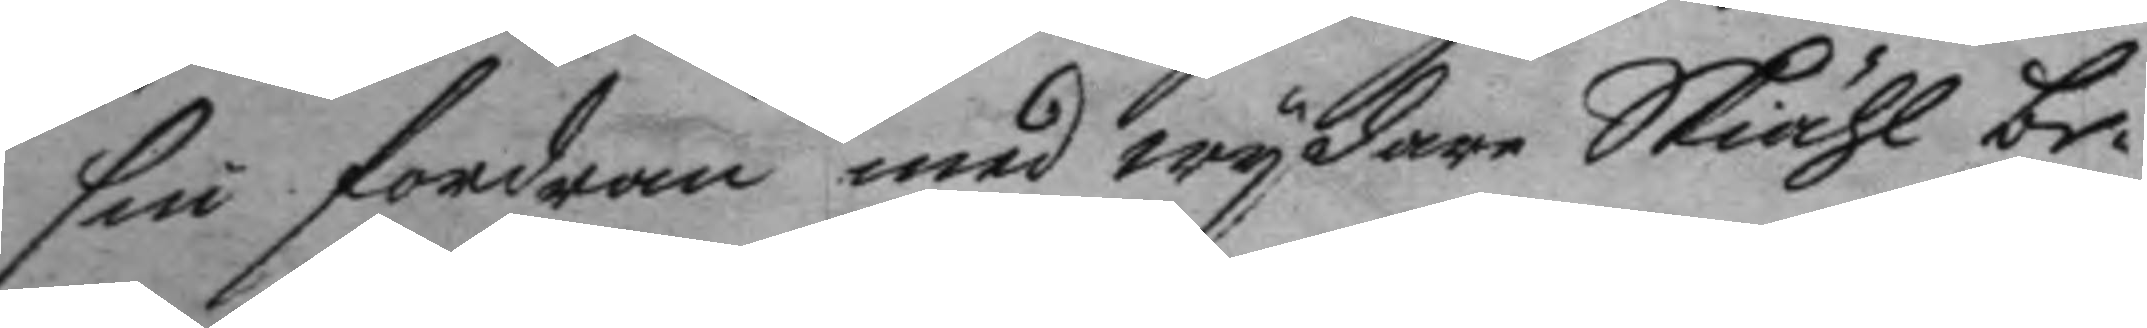sin fordran med wydare Skiähl be¬
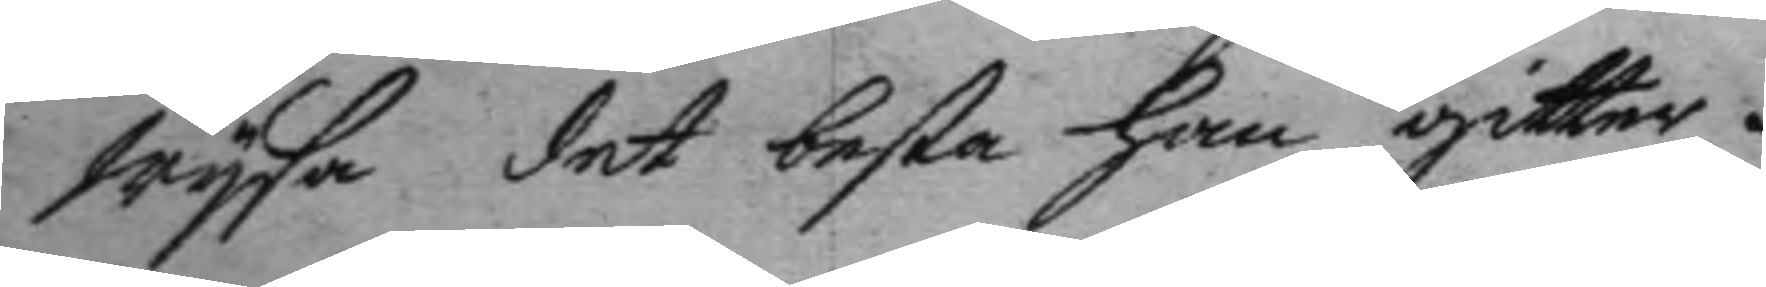wysa det besta han gitter.
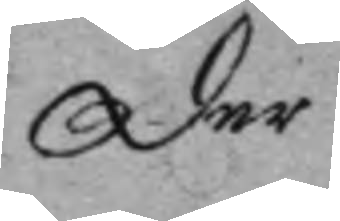der
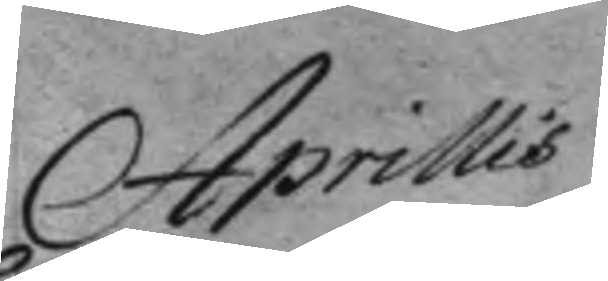Aprillis
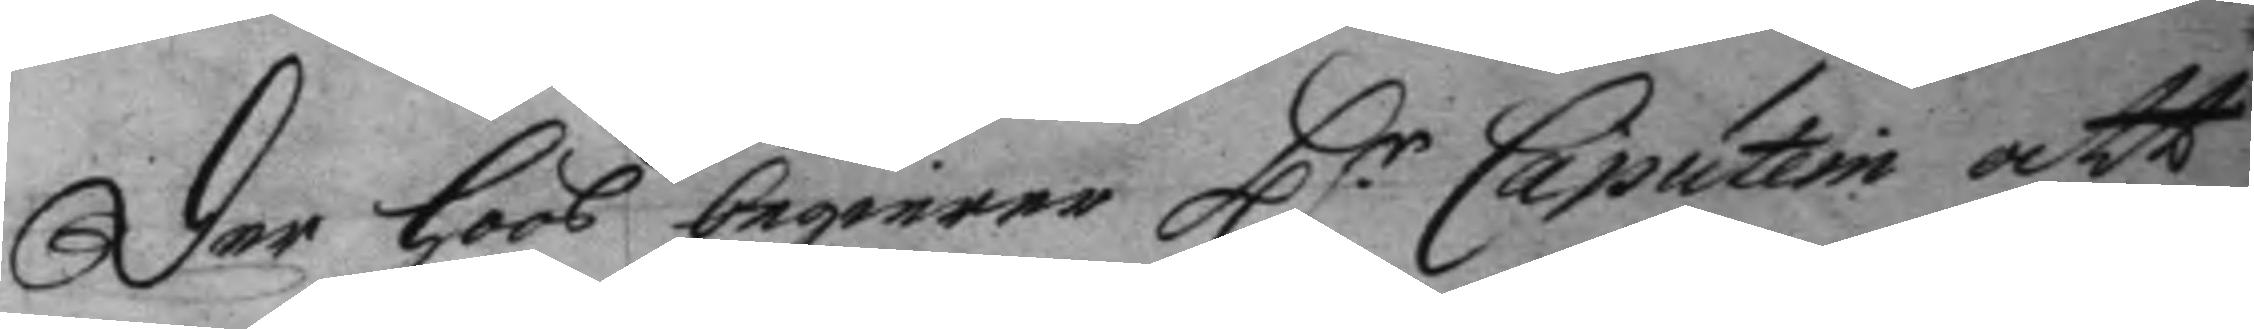der hoos begierer H.r Caputein att
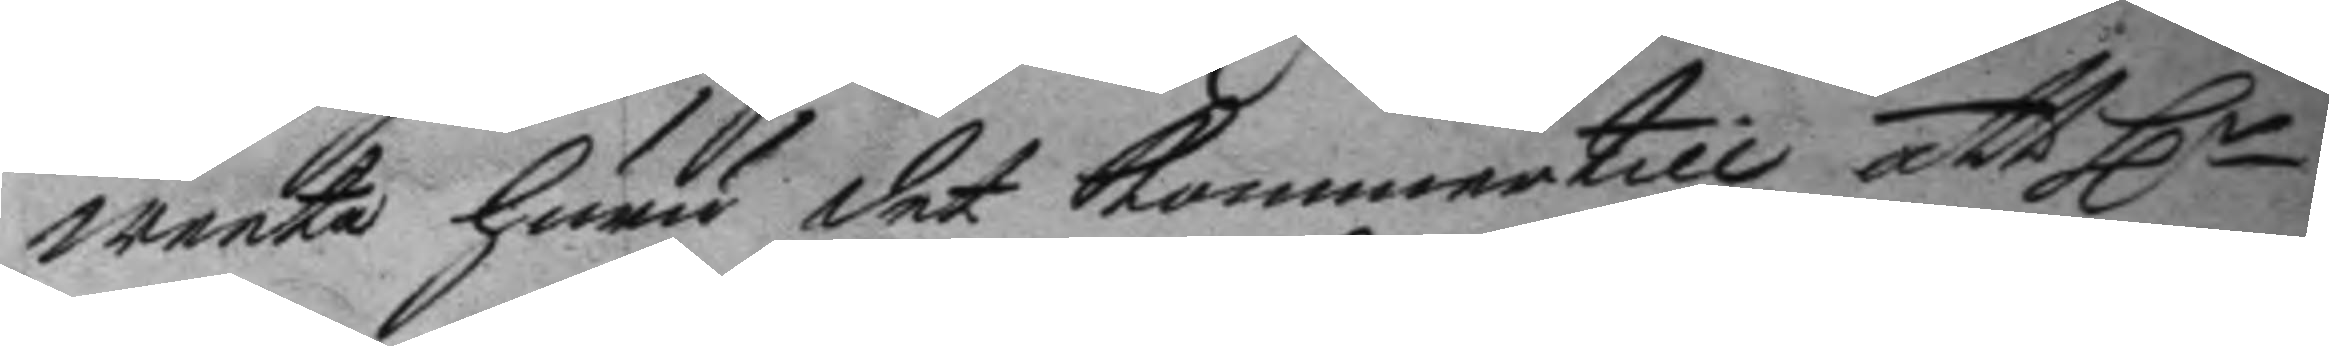weeta huru det kommer till att Hr
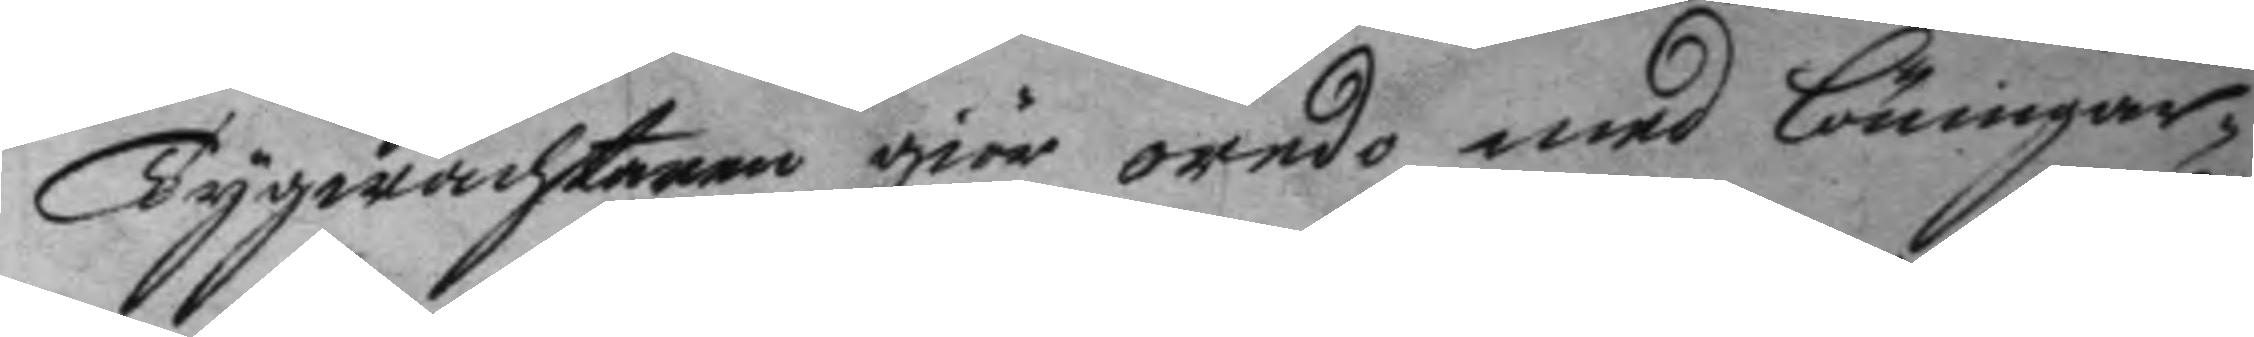Tygwachtaren giör oredo med löningar¬
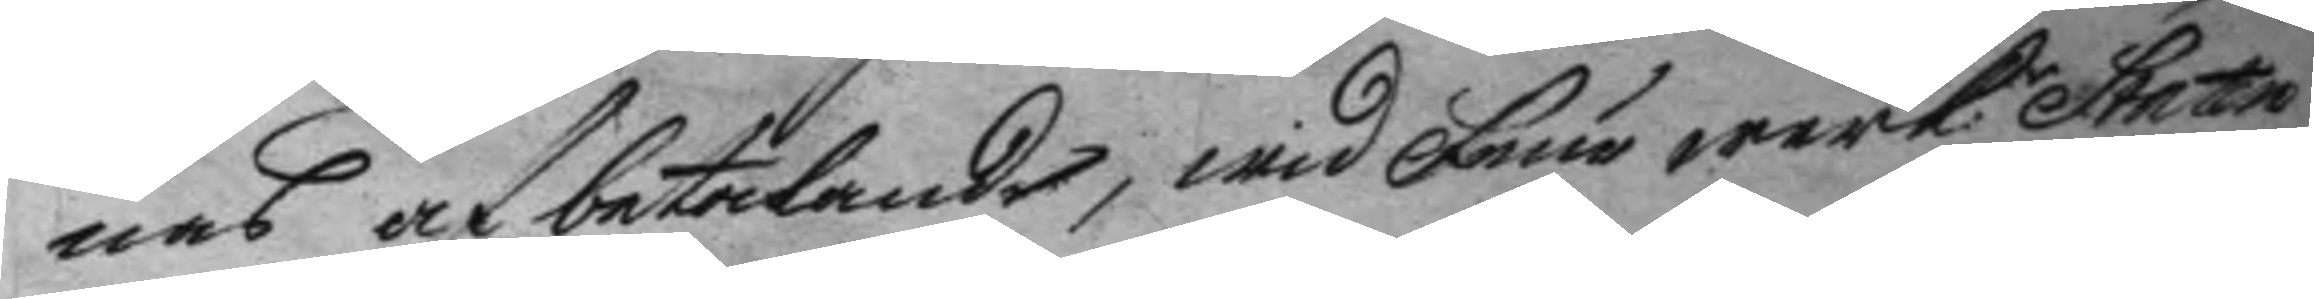nas af betalande, wid Feurwerk: Staten
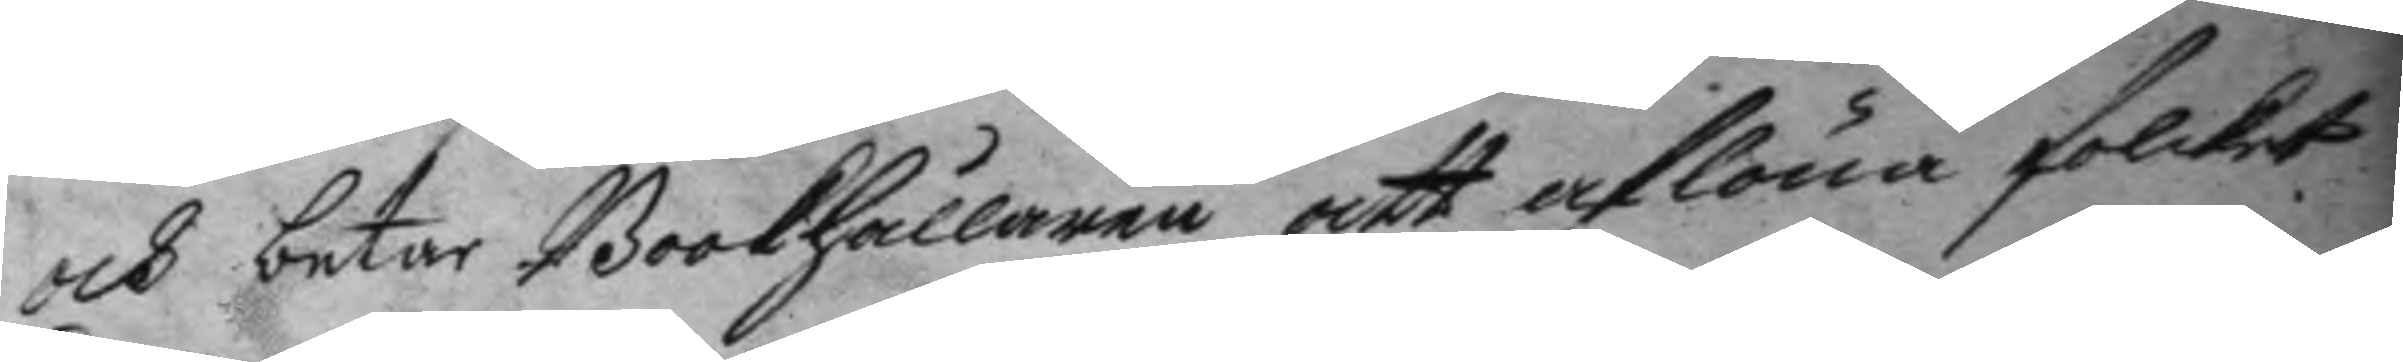och betar Bookhållaren att aflöna folcket
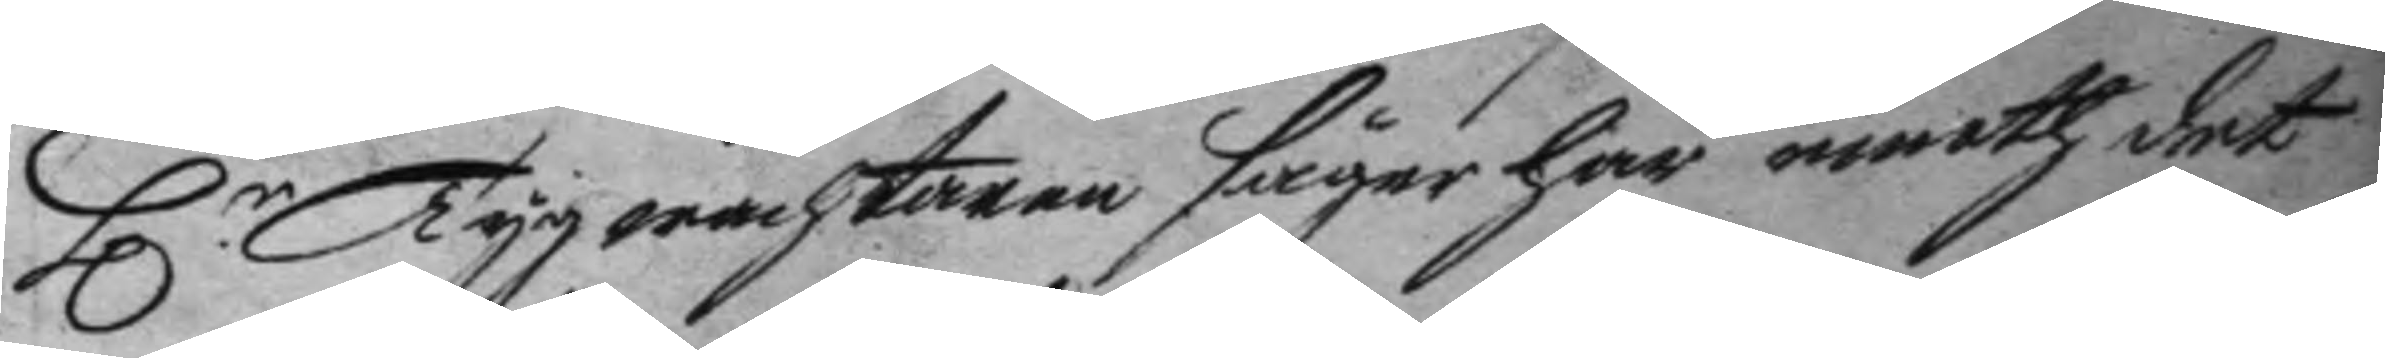H.r Tygwachtaren säger här emoth det
